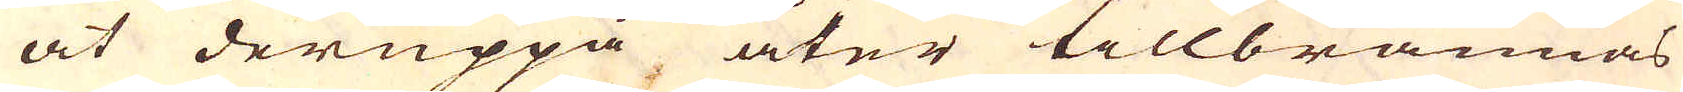at deruppå åter tillbrännas
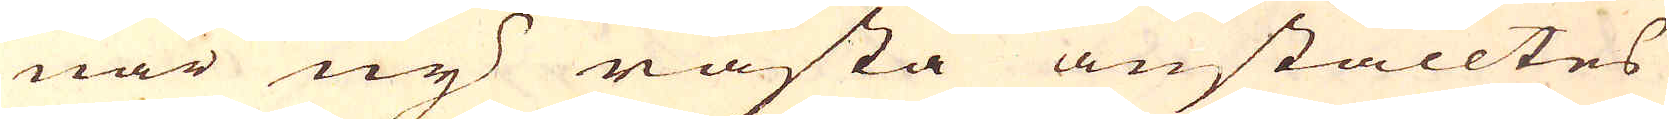när ny råsta anställtes
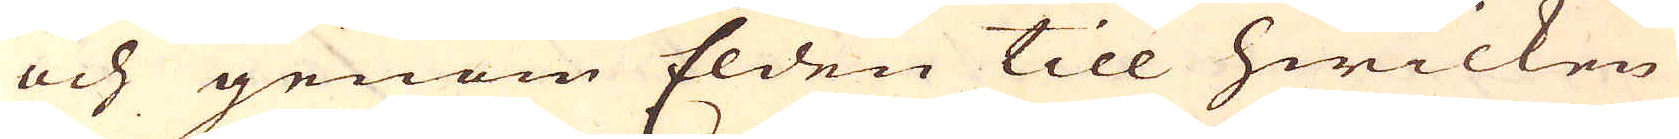och genom Elden till hwilken
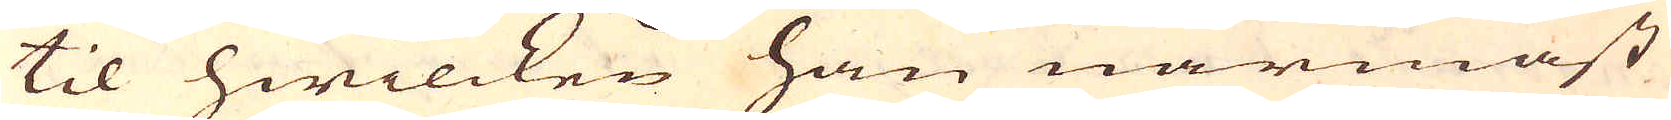til hwilcken han närmast
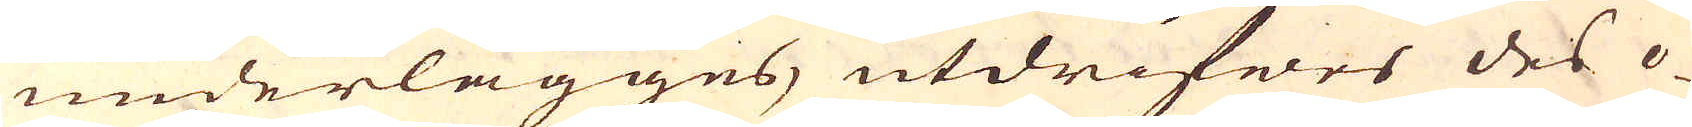underlägges, utdrifwes des o-
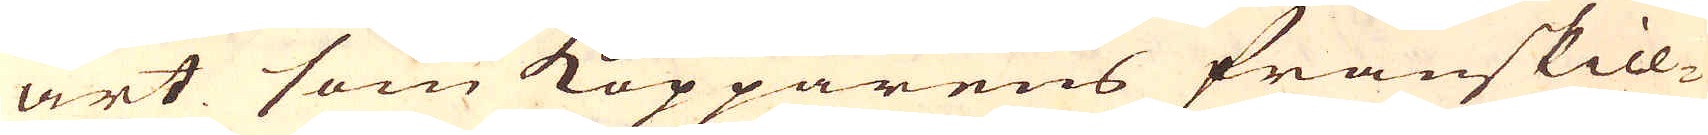art som Kopparens frånskill-
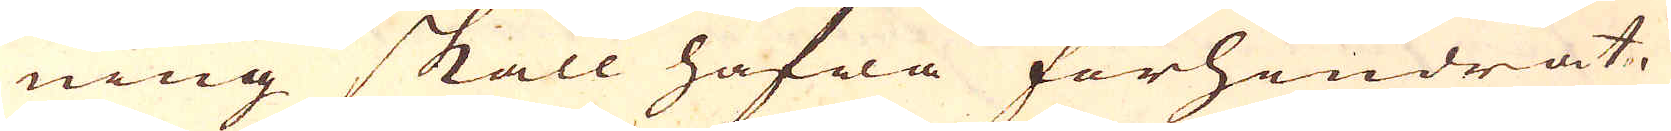ning skall hafwa förhindrat.
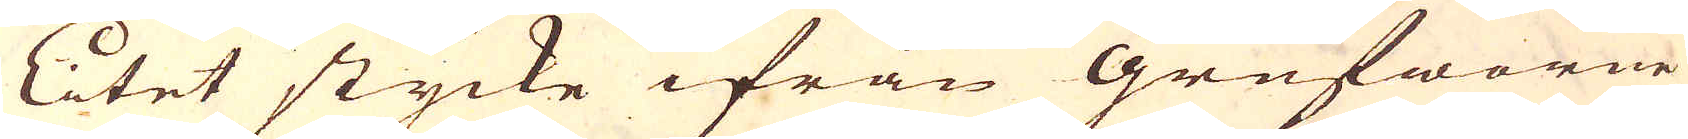Litet stycke ifrån Grufworne
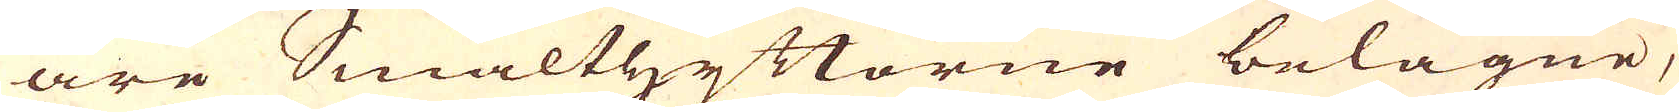äre Smälthyttorne belägne,
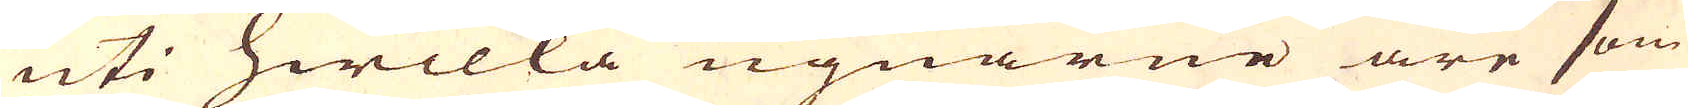uti hwilka ugnarne äre som
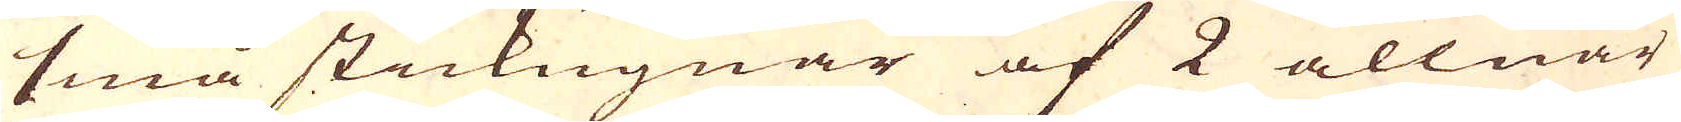små stickugnar af 2 allnar
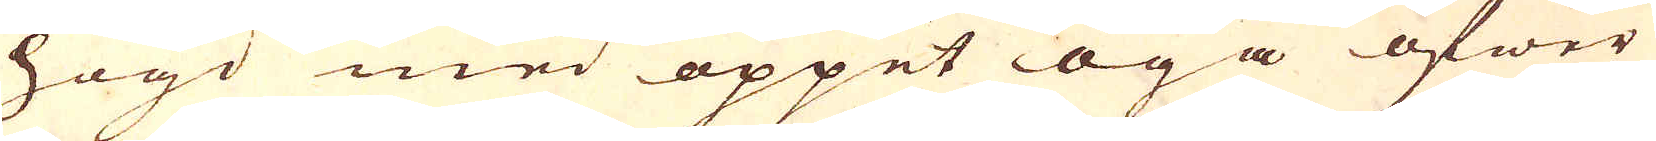högd med öppet öga öfwer
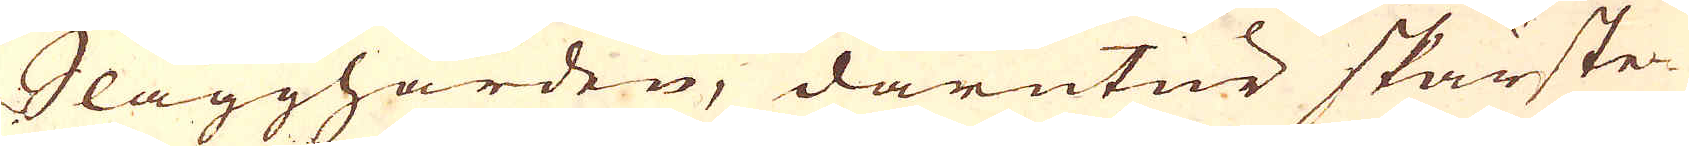Slagghärden, därutur skärste-
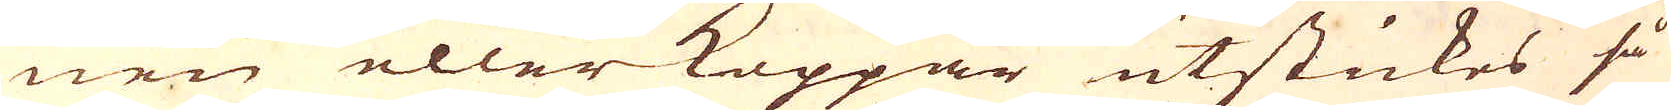nen eller Koppar utstickes så
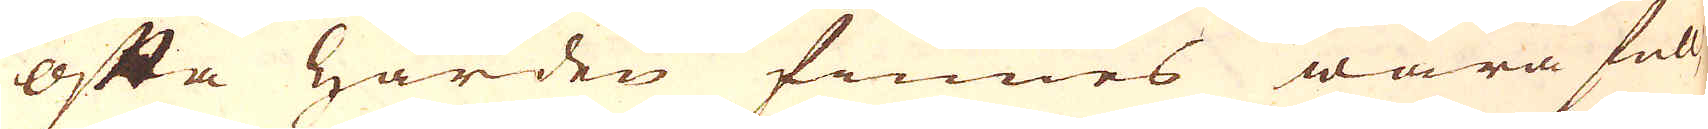ofta härden finnes wara full,
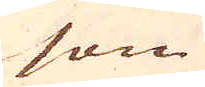som
